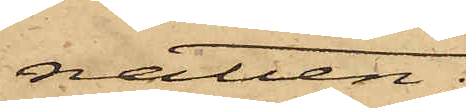natten;
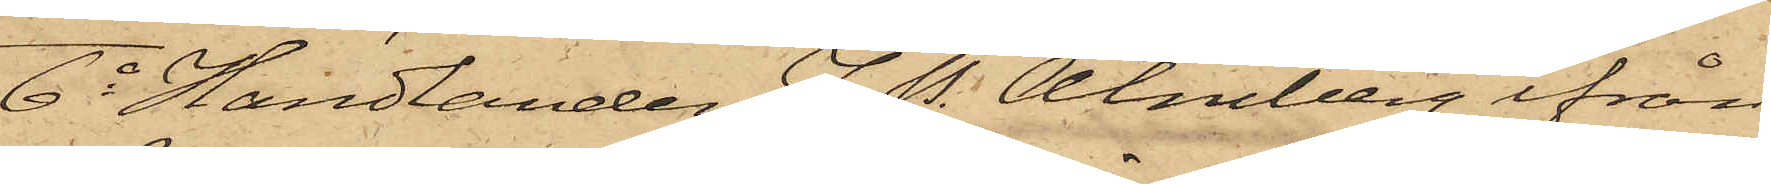6o Handlanden J. P. Almberg ifrån
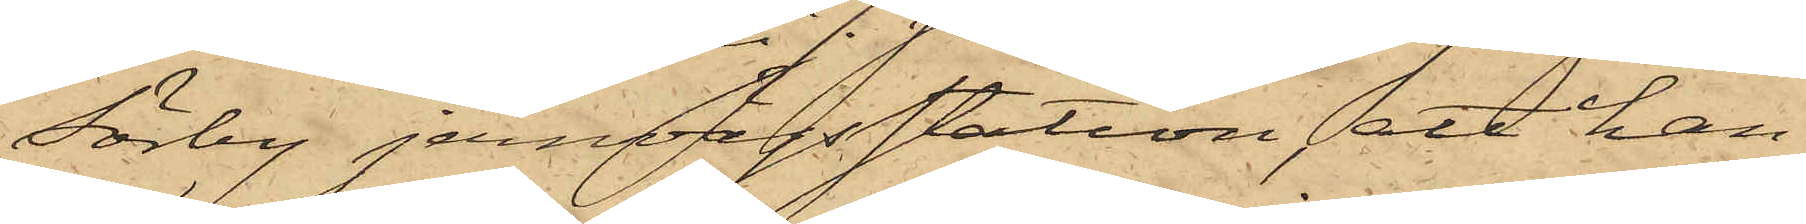Sörby jernvägsstation, att han
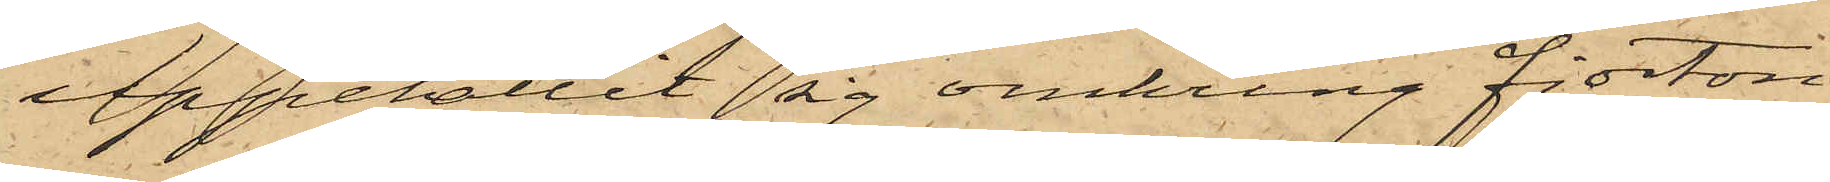uppehållit sig omkring fjorton
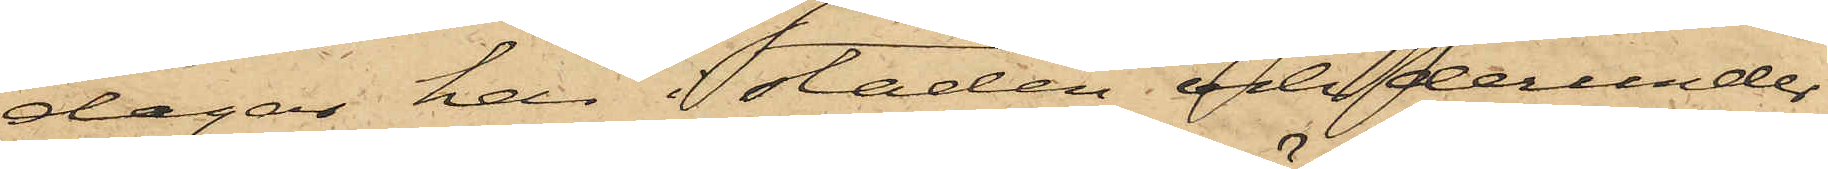dagar här i staden och derunder
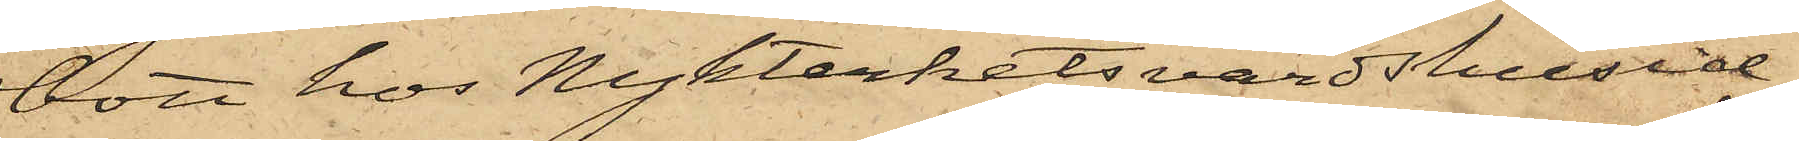bott hos Nykterhetsvärdshusid¬
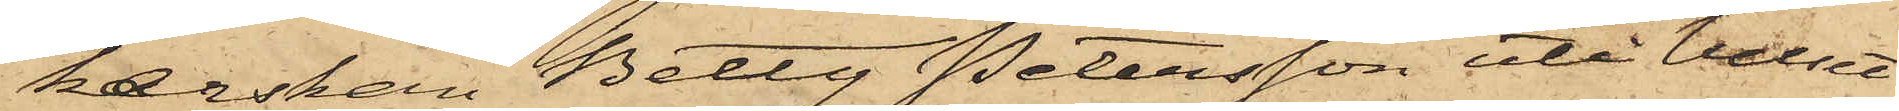kerskan Betty Petersson uti huset
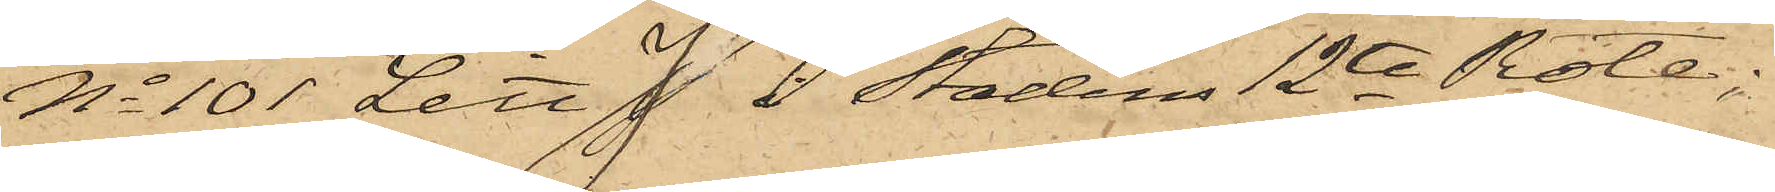No 101 Litt J i Stadens 12te Rote;
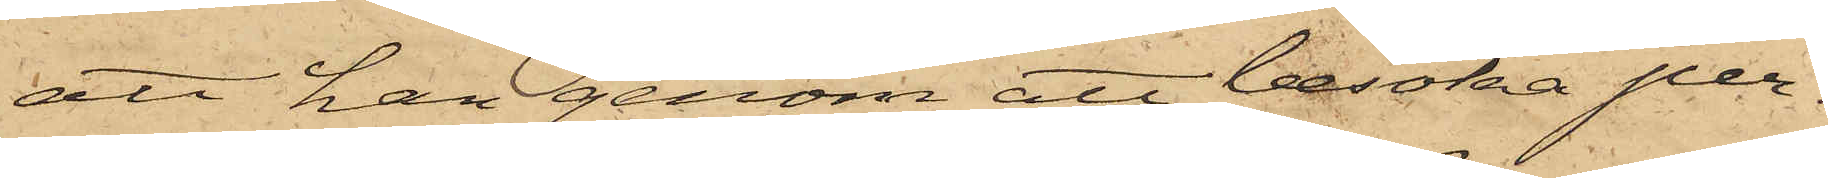att han genom att besöka per¬
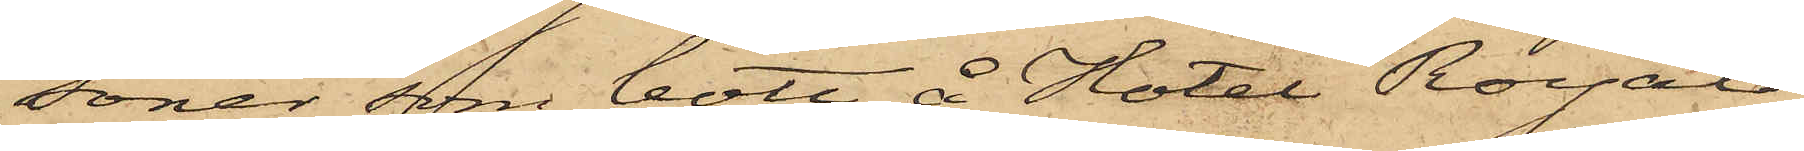soner, som bott å Hotel Royal,
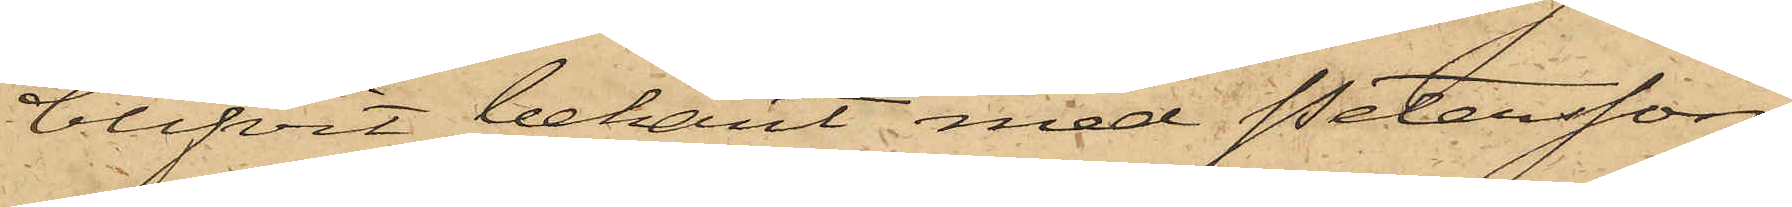blifvit bekant med Petersson
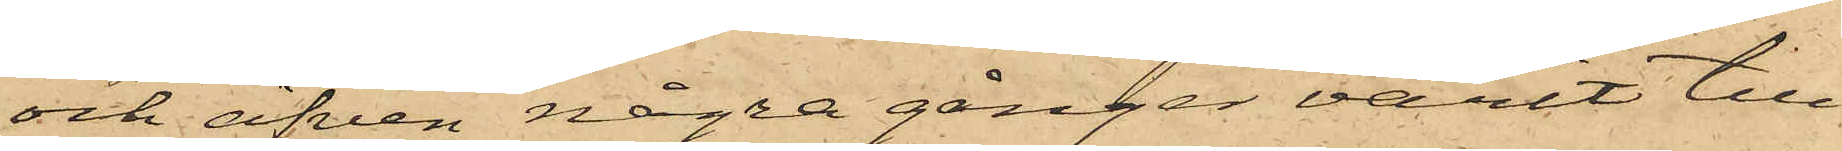och äfven några gånger varit till¬
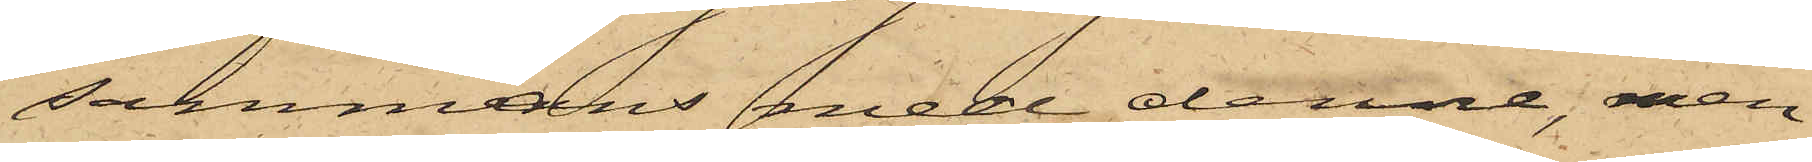sammans med denne, men
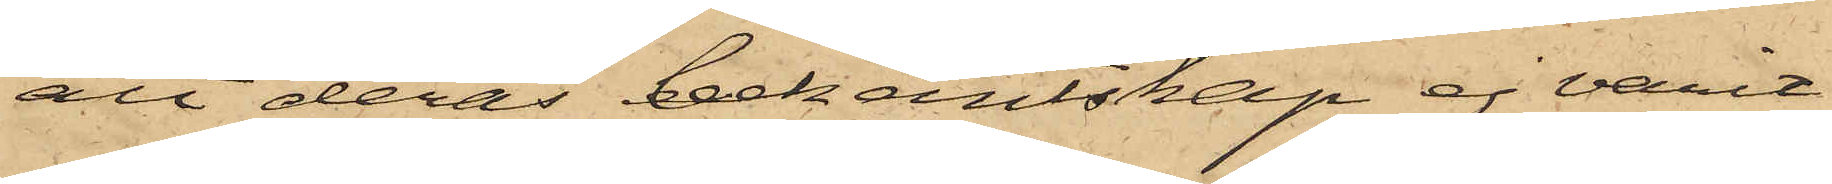att deras bekantskap ej varit
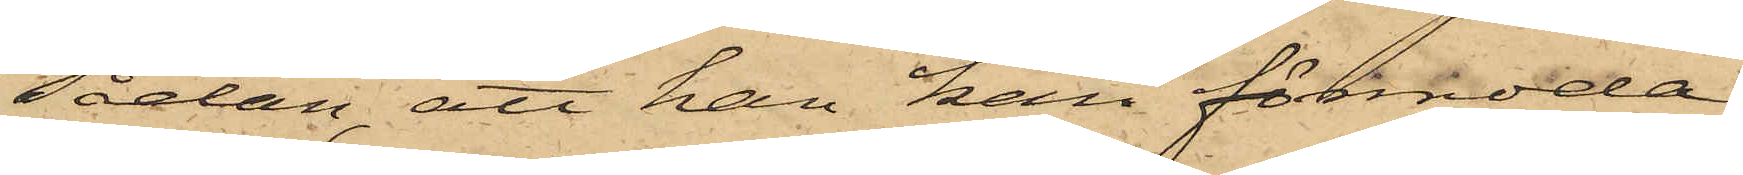sådan, att han kan förmoda
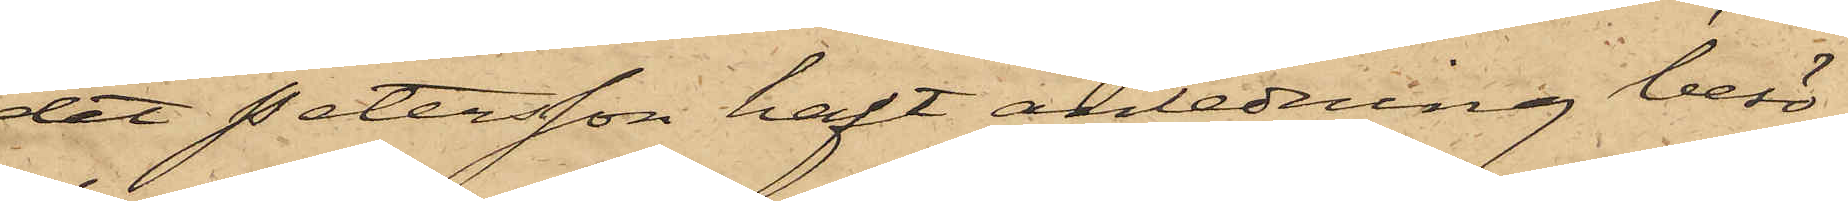det Petersson haft anledning besö¬
